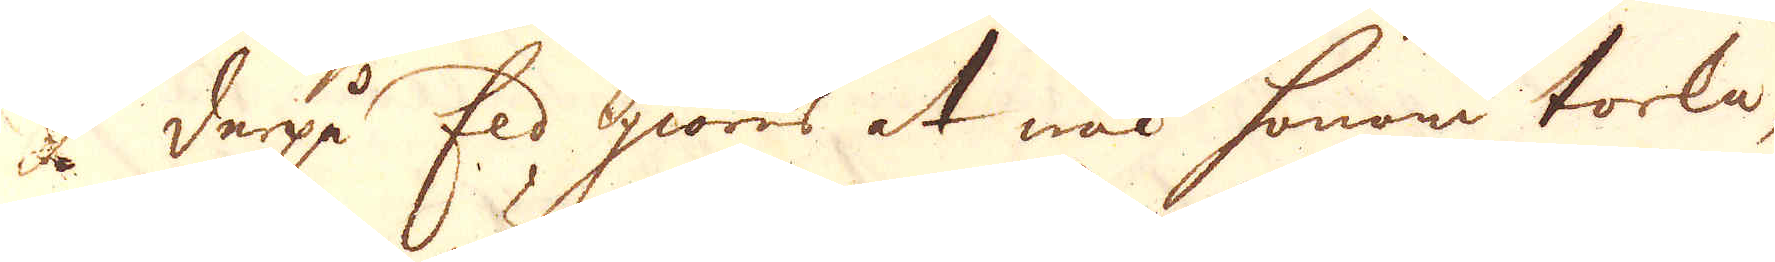derpå Eld giöres at wäl honom torka,
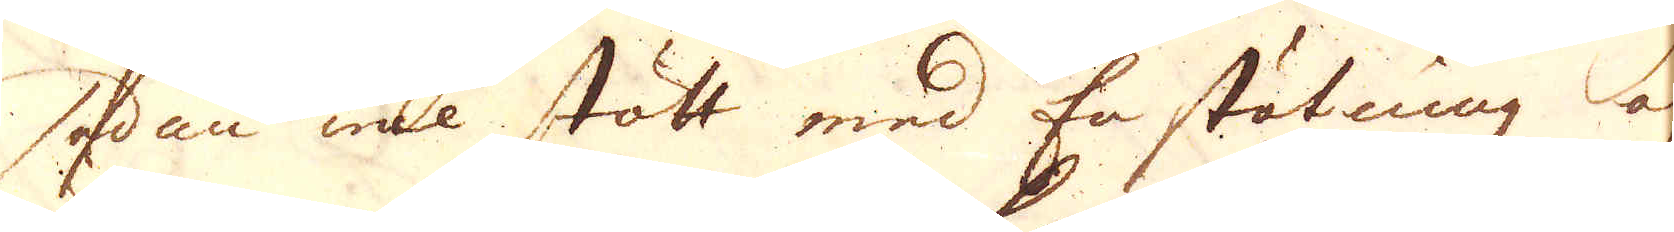sedan wäl stött med En stötning af
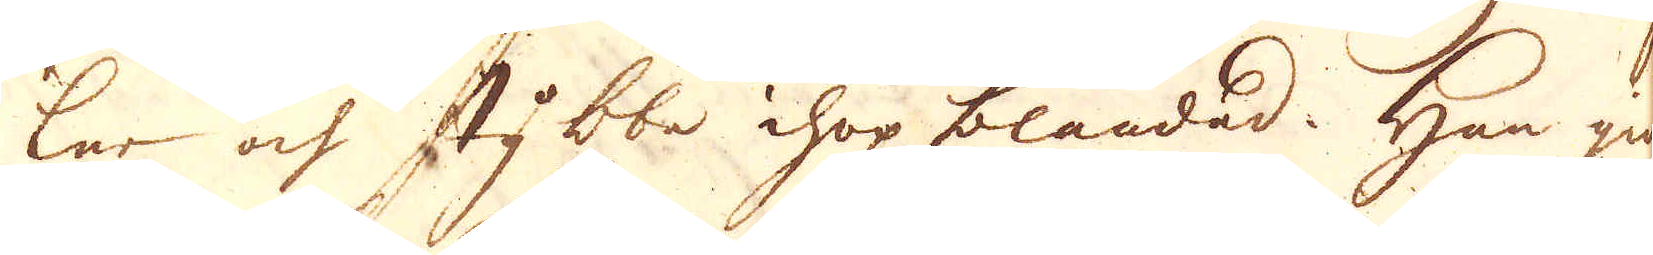ler och stybbe ihop blandad. Han giörs
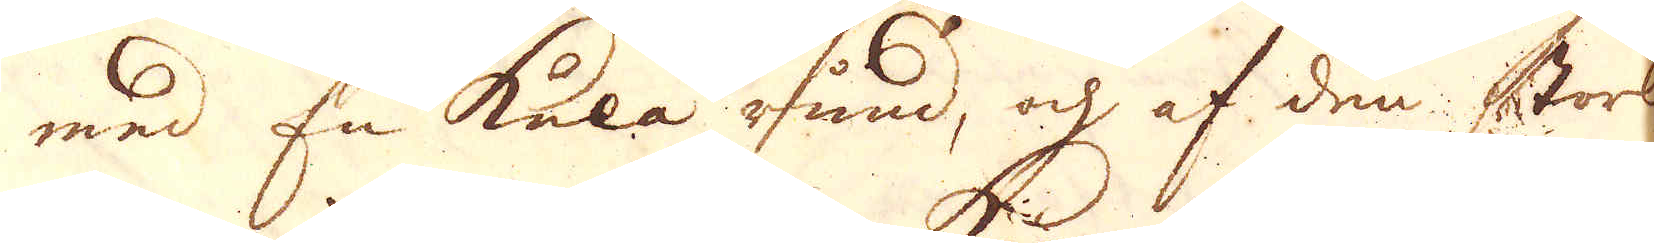med En kula rund, och af den storlek
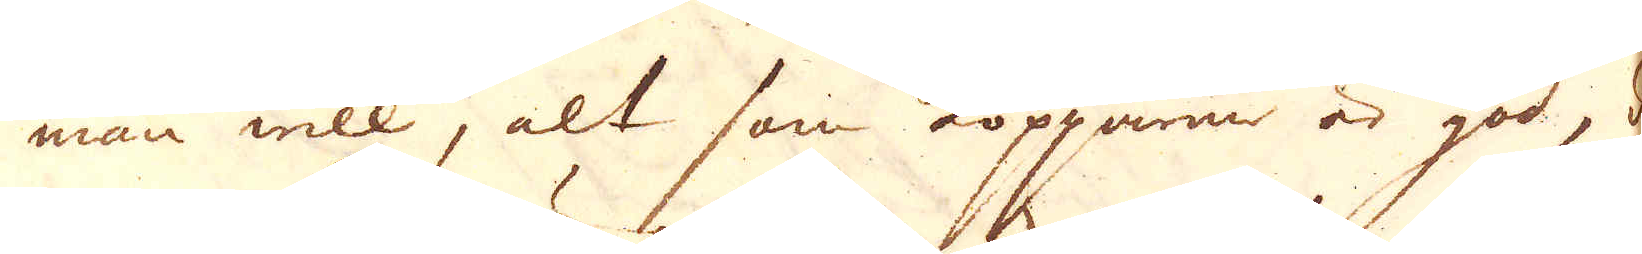man will, alt som kopparen är god, då
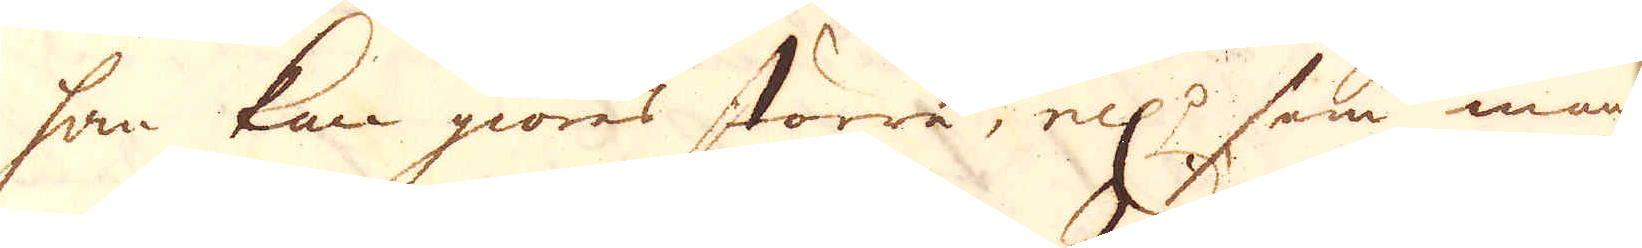han kan giöres större, ell:r som man har
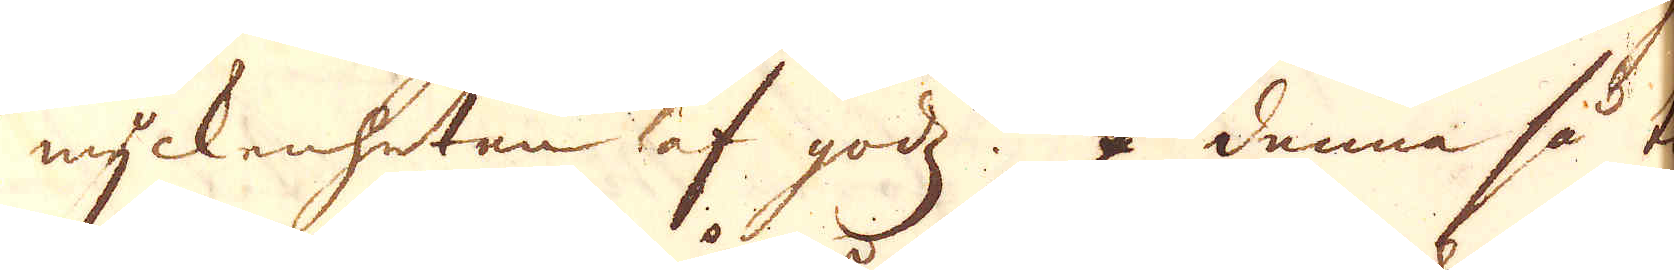myckenheten af godz. I denna så til-
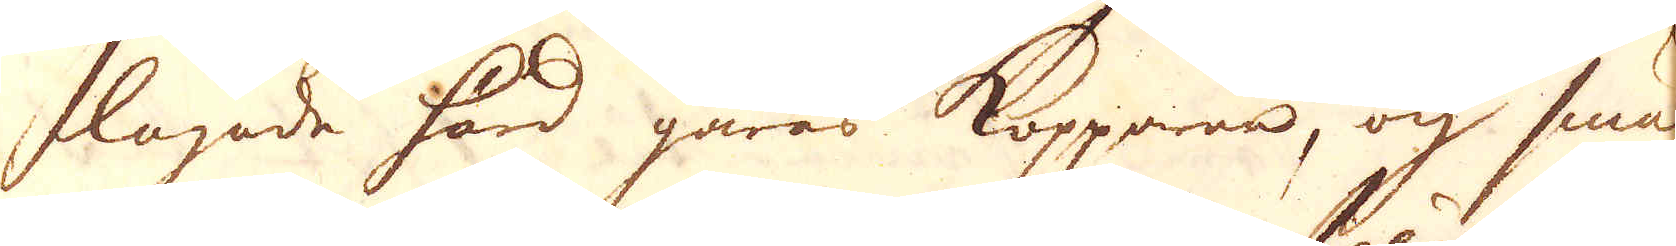lagade härd gåras Kopparen, och smä-
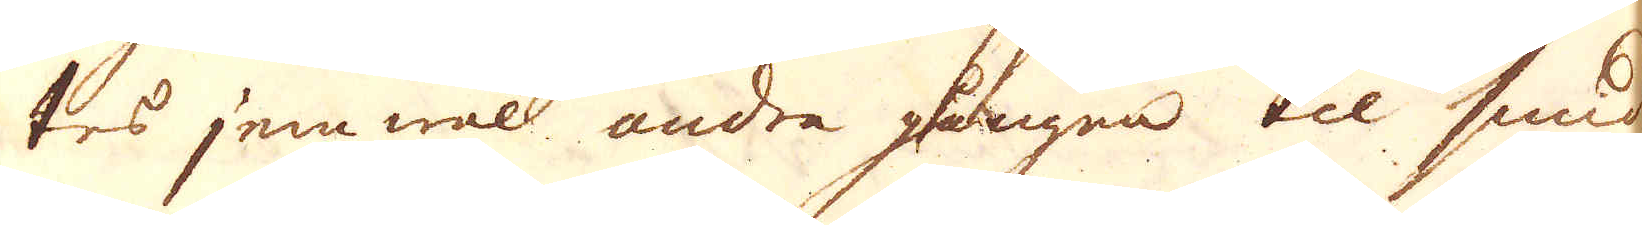tes jemwäl andra gången til smidbar
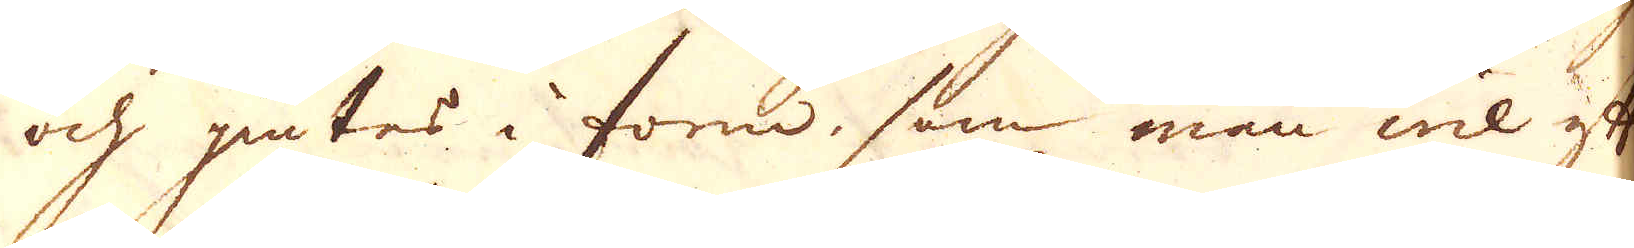och giutes i form, som man wil efter
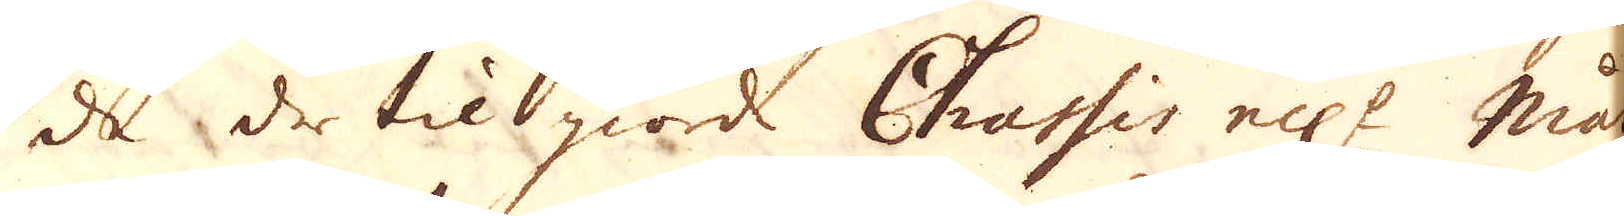de dertil giorde Chassis ell:r mått.
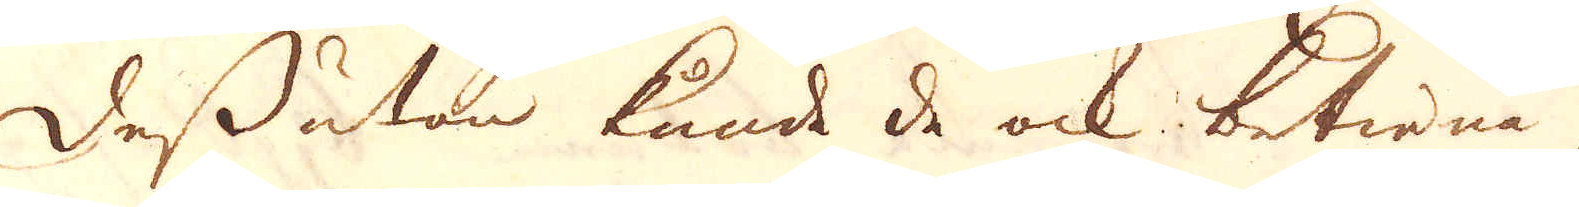Dessutan kunde de ock betiena sig
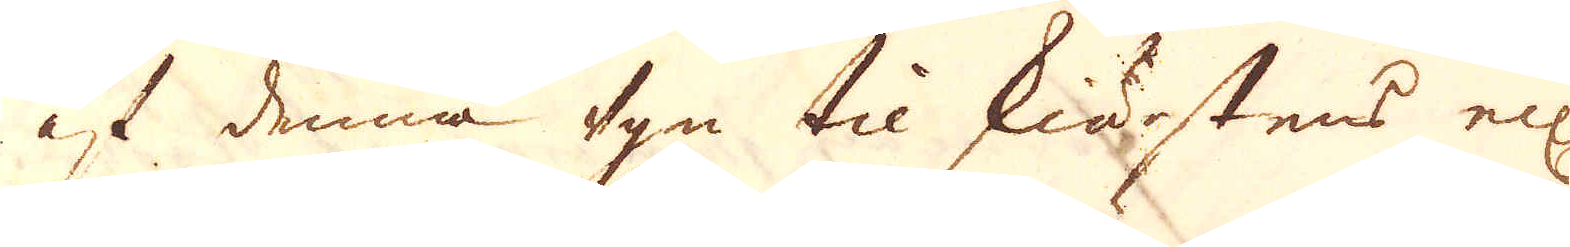af denna ugn til skiärstens ell:r
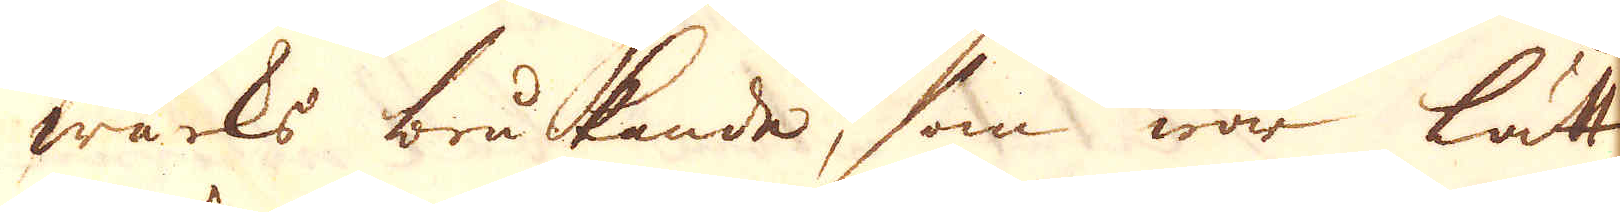wärks brukande, som war lätt
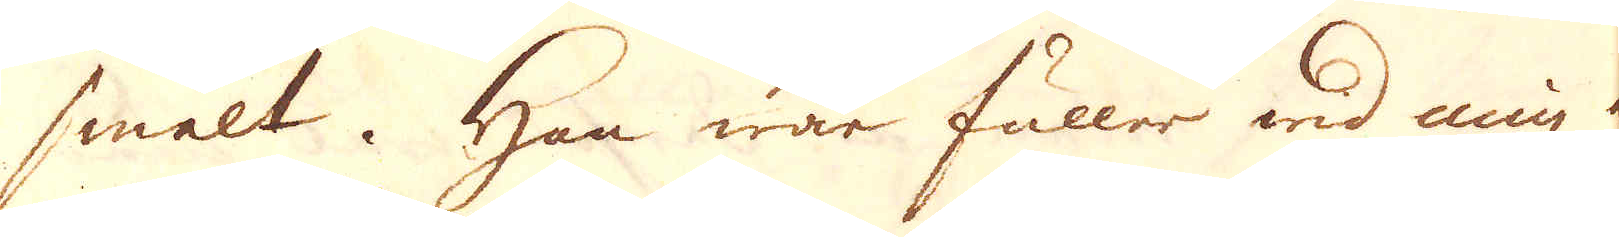smält. Han war fuller wid min af-
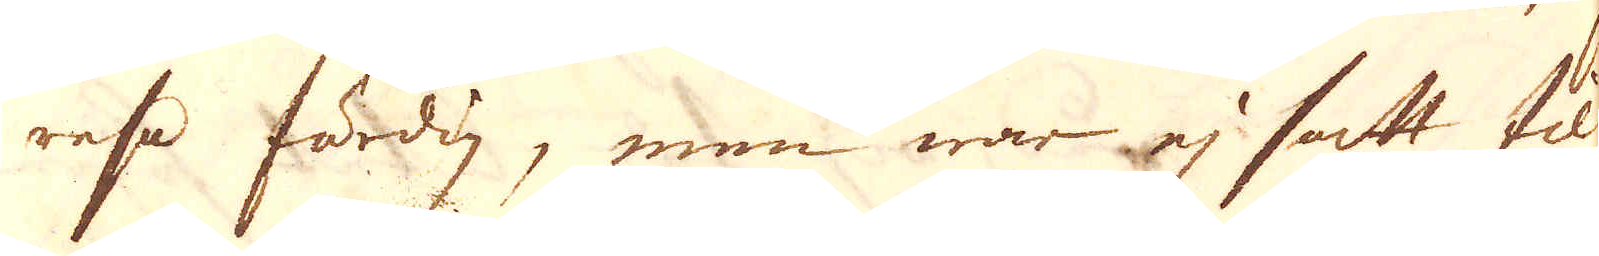resa färdig, men war ej satt til
